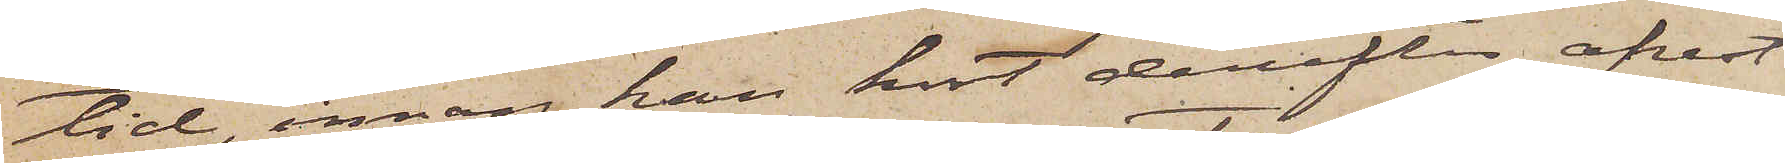tid, innan han kort derefter afrest
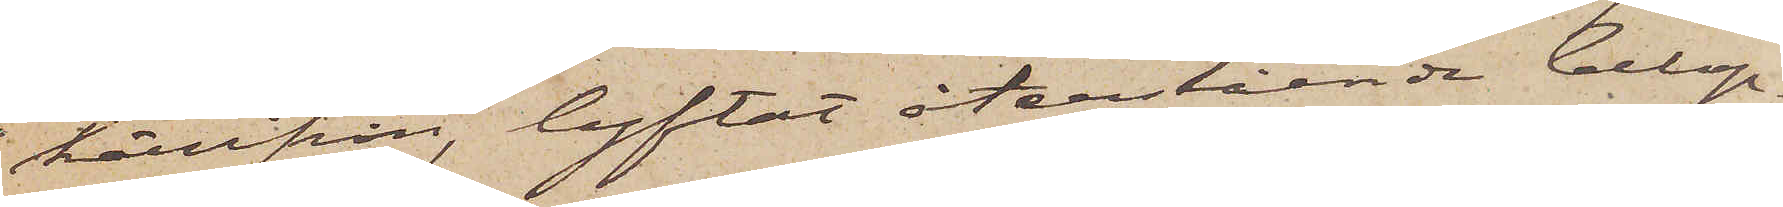härifrån, lyftat återstående belop¬
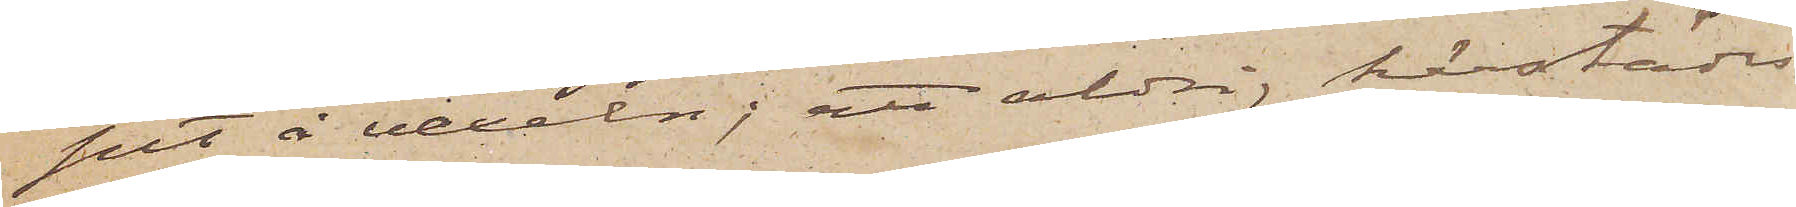pet å vexeln; att aldrig härstädes
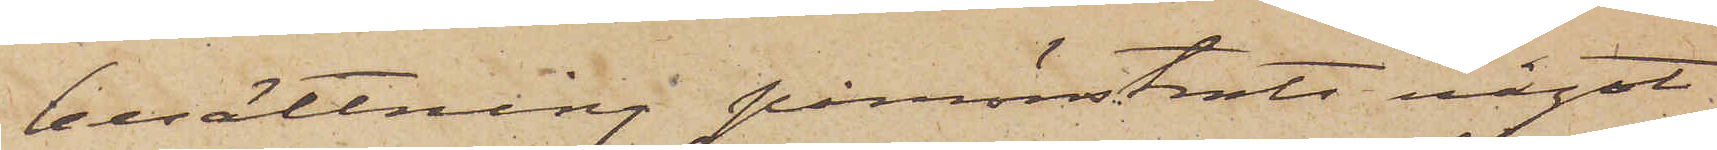besättning påmönstrats något
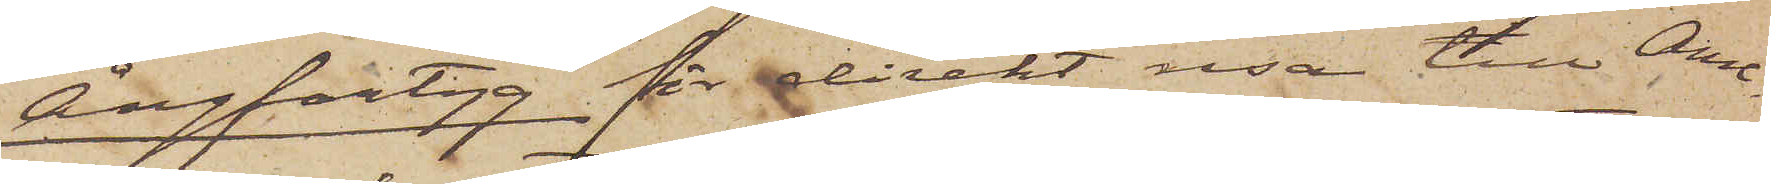Ångfartyg för direkt resa till Ame¬
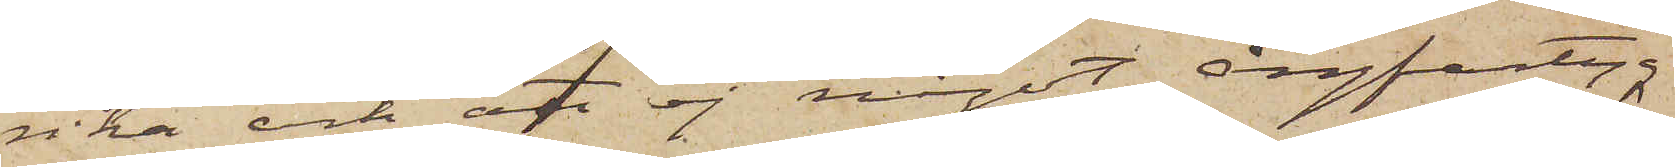rika och att ej något ångfartyg
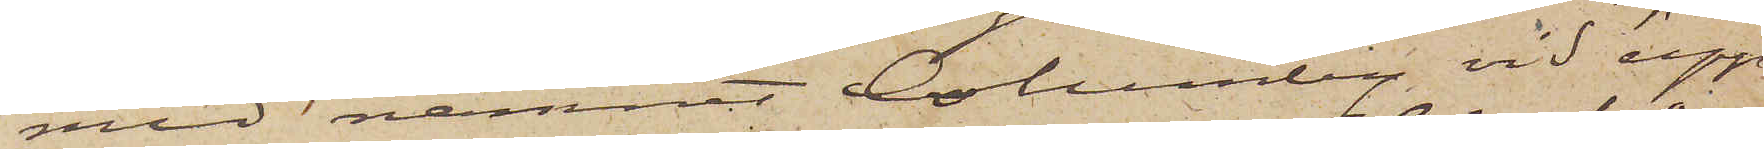med namnet Columby vid upp¬
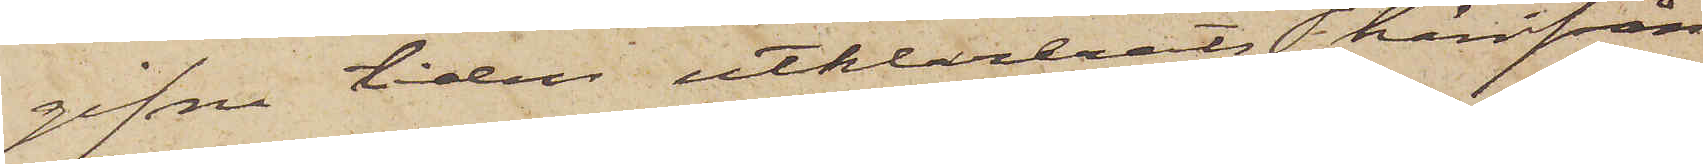gifne tiden utklarats härifrån
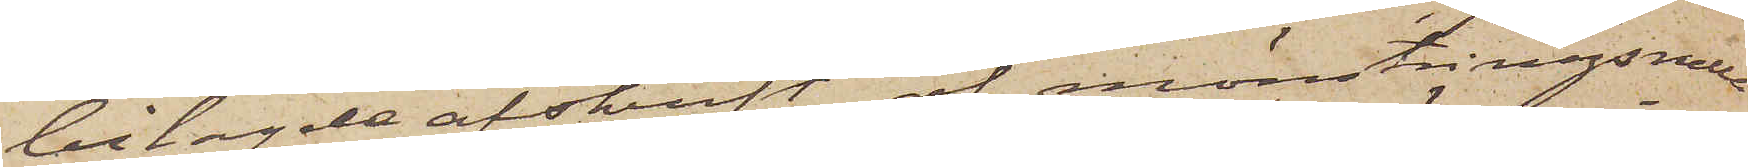bilagde afskrift af mönstringsrulla
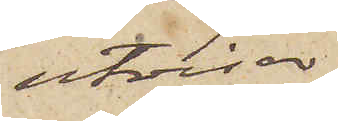utvisar,
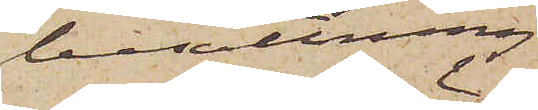besättning
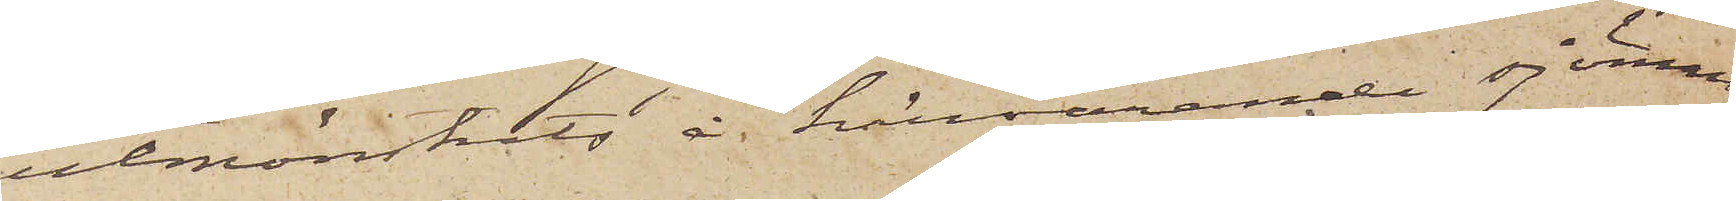utmönstrats å härvarande sjömans¬
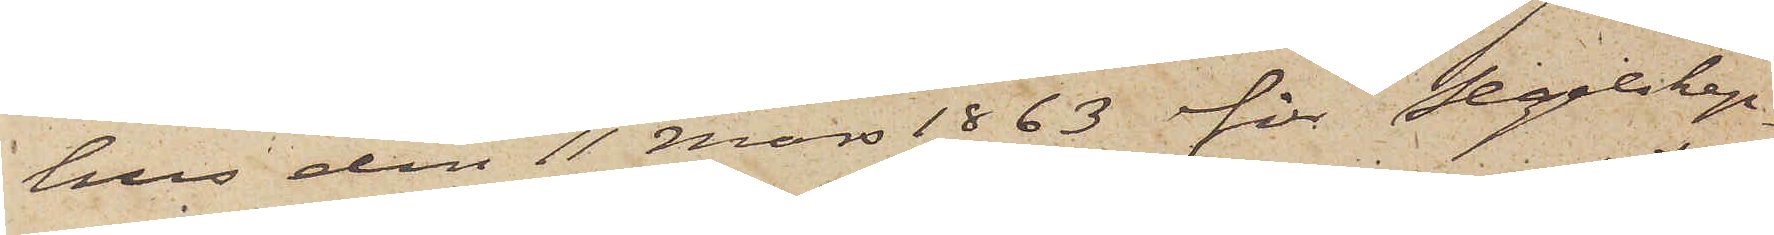hus den 11 Mars 1863 för segelskep¬
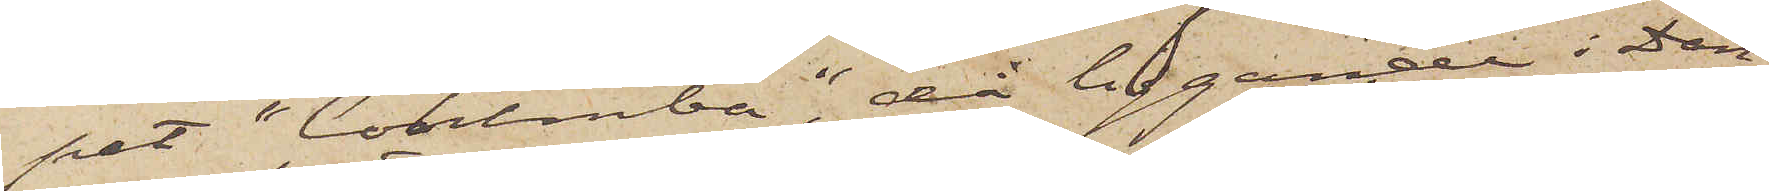pet "Columba", då liggande i Dan¬
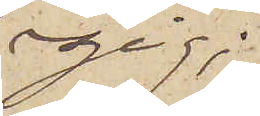zig;
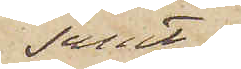samt
